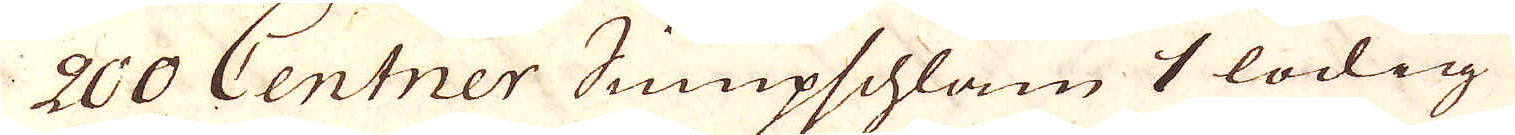200 Centner Sumpschlam 1 lödig
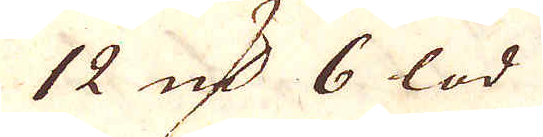12 qv:r 6 lod
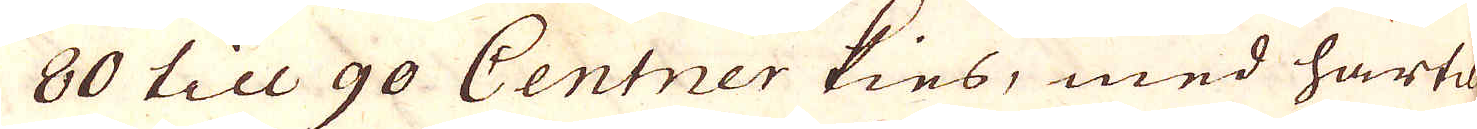80 till 90 Centner kies, med härtil
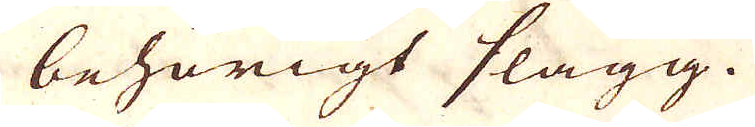behörigt slagg.
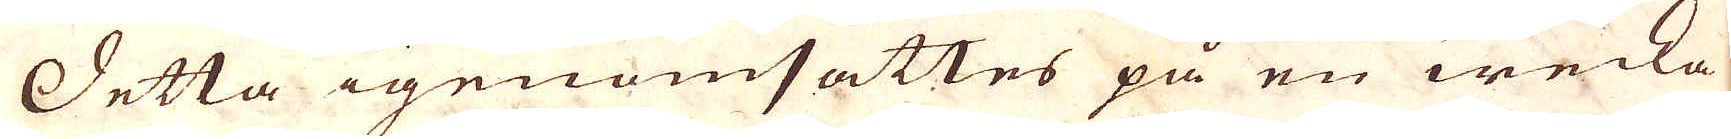Detta igenomsättes på en wecka
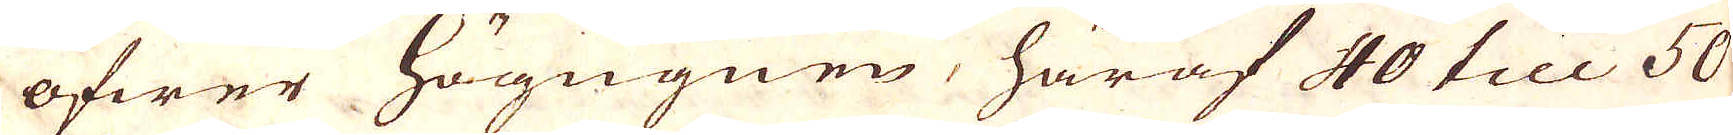öfwer högugnen, häraf 40 till 50
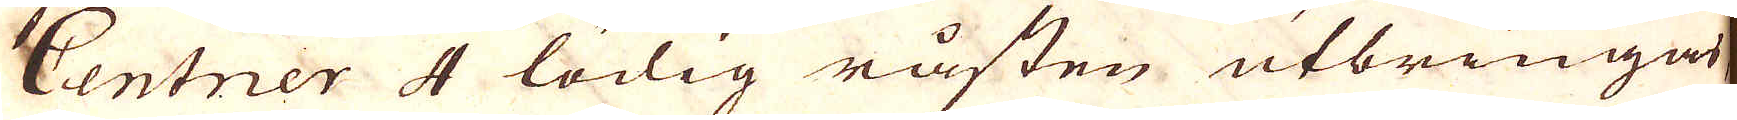Centner 4 lödig råsten utbringa
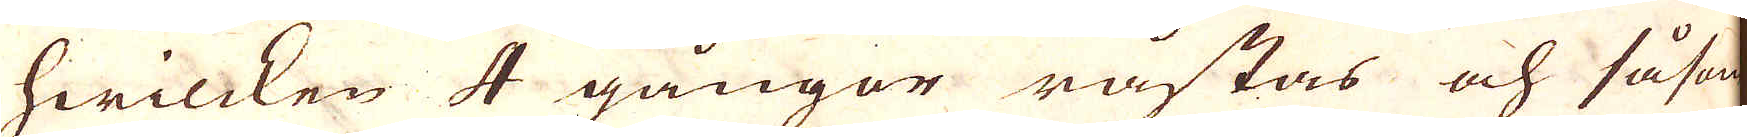hwilcken 4 gångor råstas och såsom
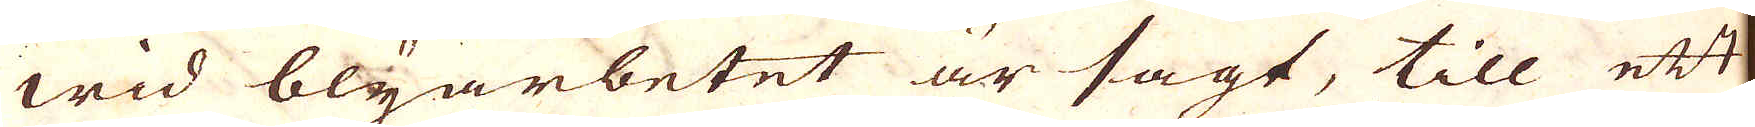wid blyarbetet är sagt, till ett
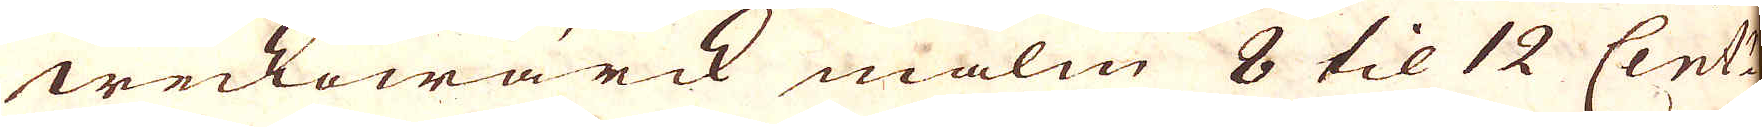weckowärck malm 8 til 12 Cent:r
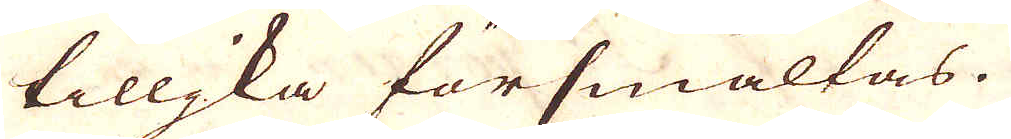tilljka försmältas.
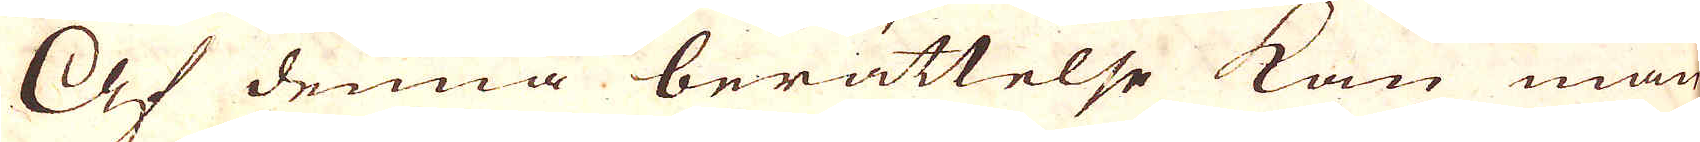Af denna berättelse kan man
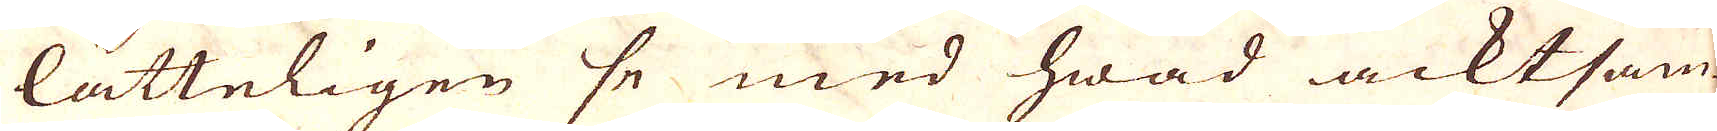lätteligen se med hwad acktsam-
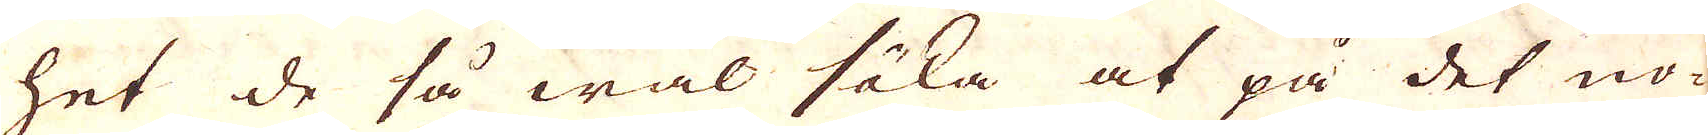het de så wäl söka at på det nö-
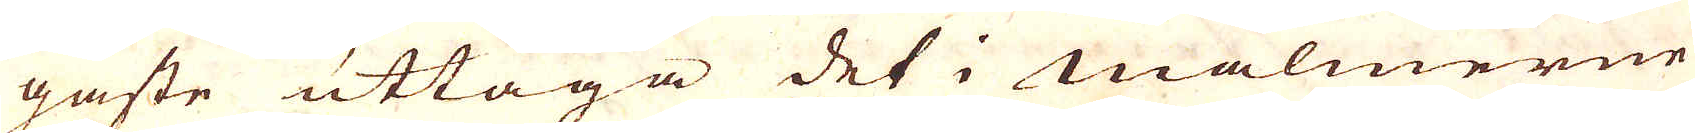gaste uttaga det i Malmerne
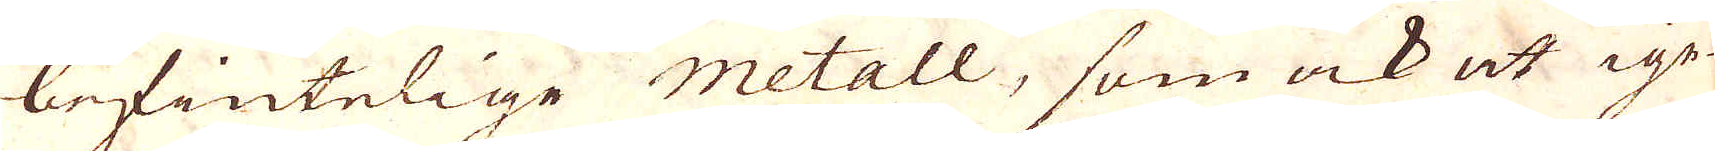befintelige Metall, som ock ut ige-
